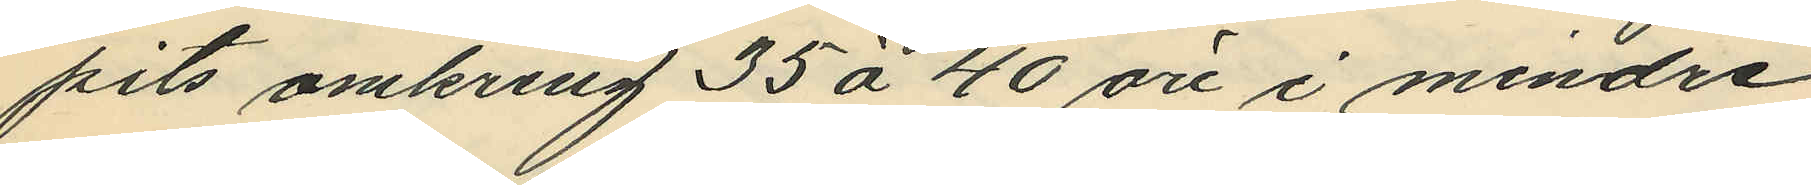pits omkring 35 à 40 öre i mindre
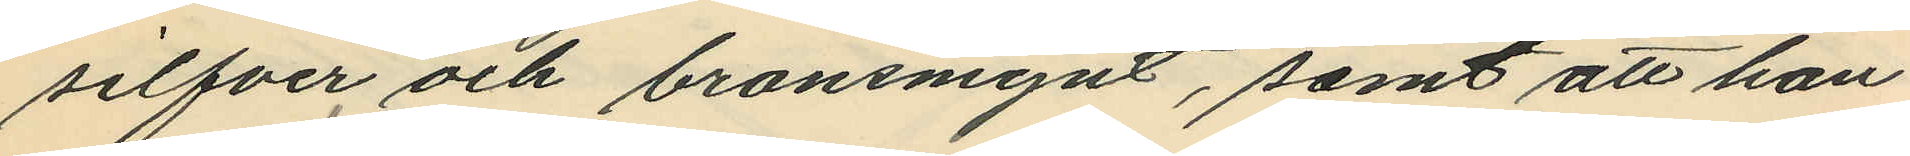silfver och bronsmynt, samt att han
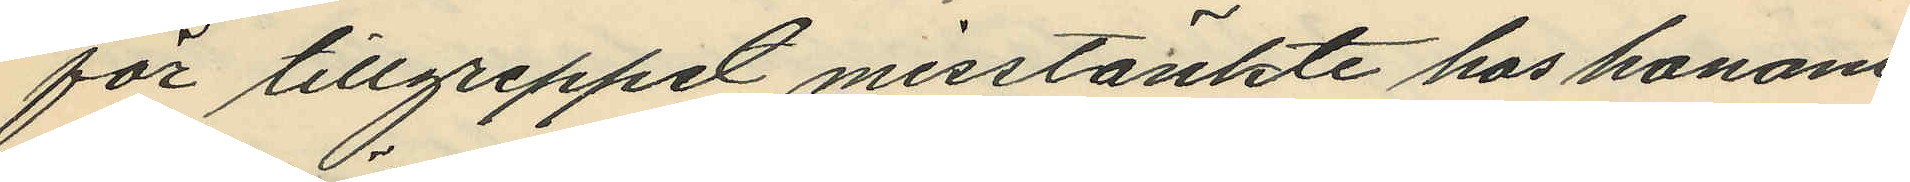för tillgreppet misstänkte hos honom
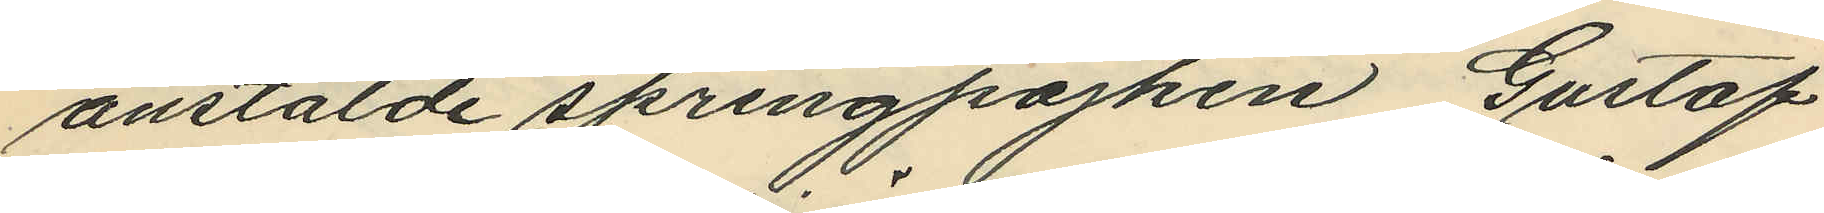anstälde springpojken Gustaf
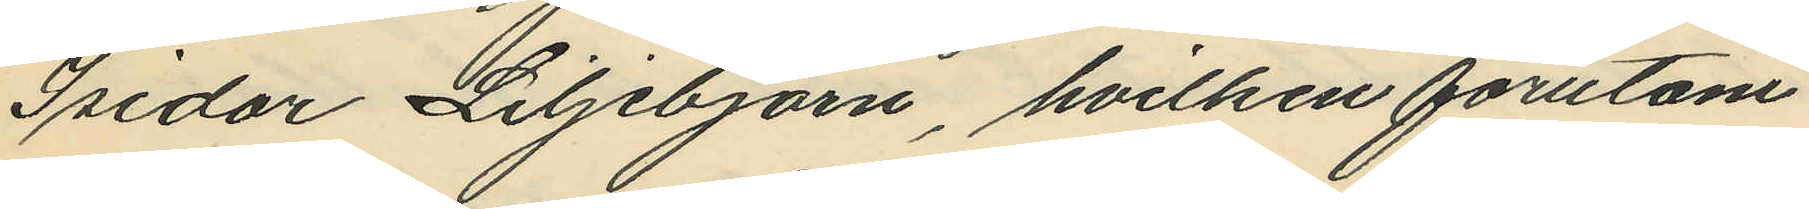Isidor Liljebjörn, hvilken förutom
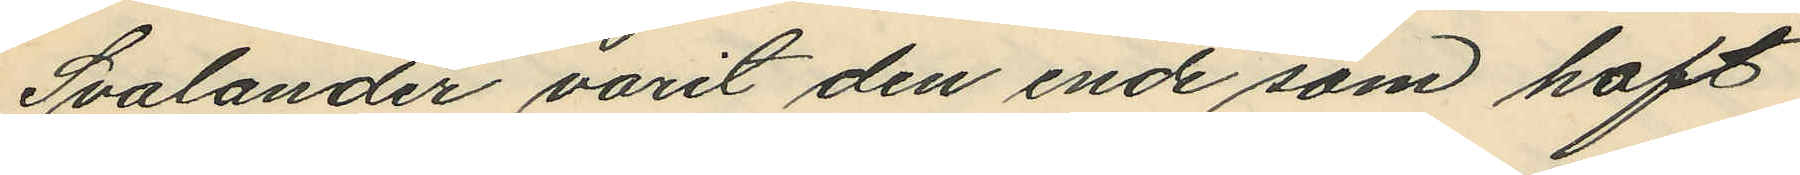Svalander varit den ende som haft
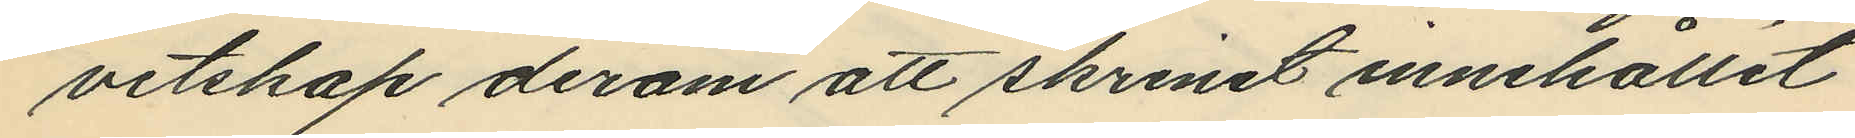vetskap derom att skrinet innehållit
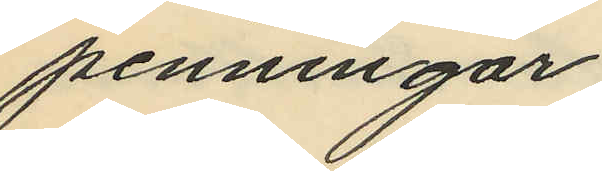penningar.
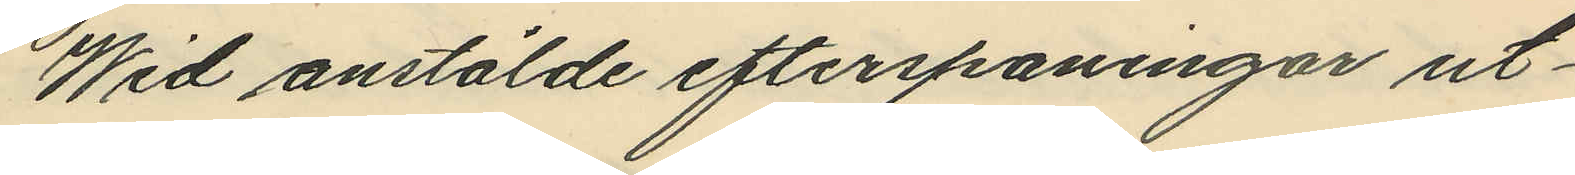Wid anstälde efterspaningar ut¬
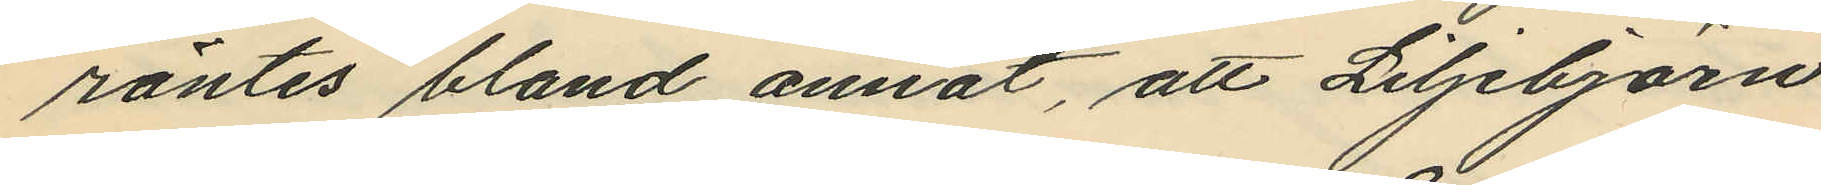röntes bland annat, att Liljebjörn
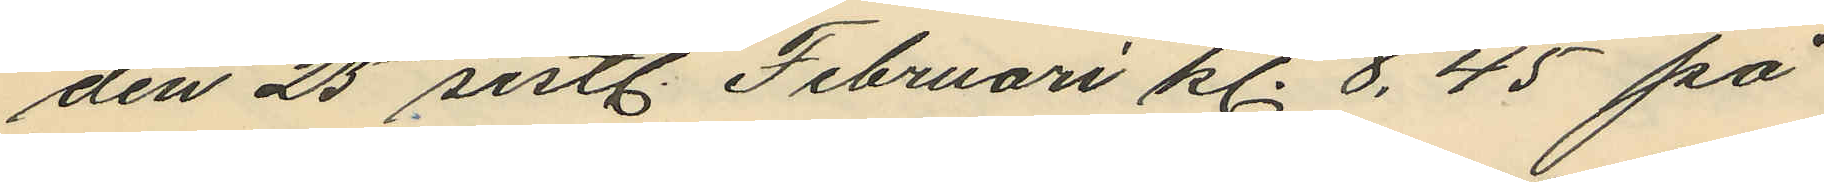den 25 sistl. Februari kl. 8,45 på
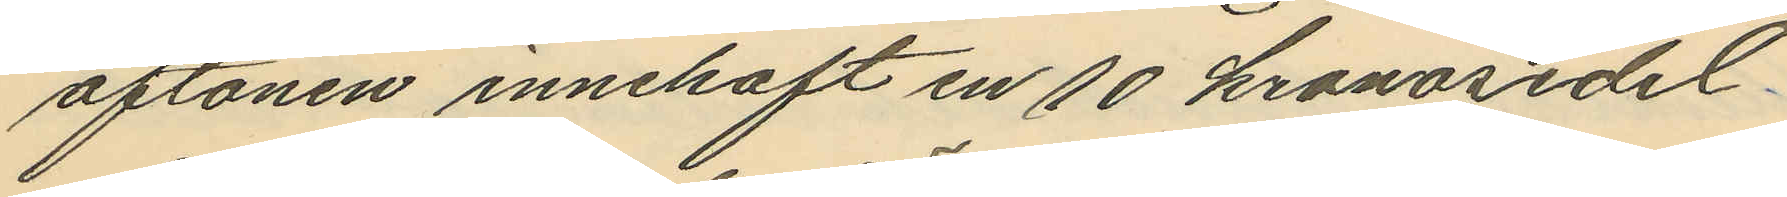aftonen innehaft en 10 kronosedel
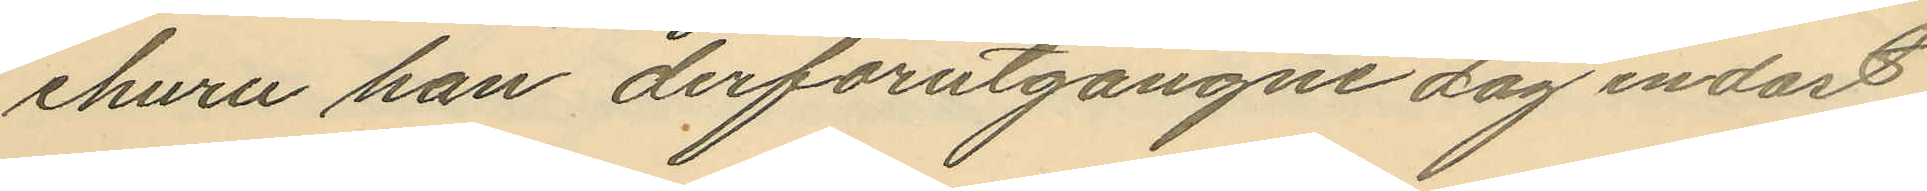ehuru han derförutgångne dag endast
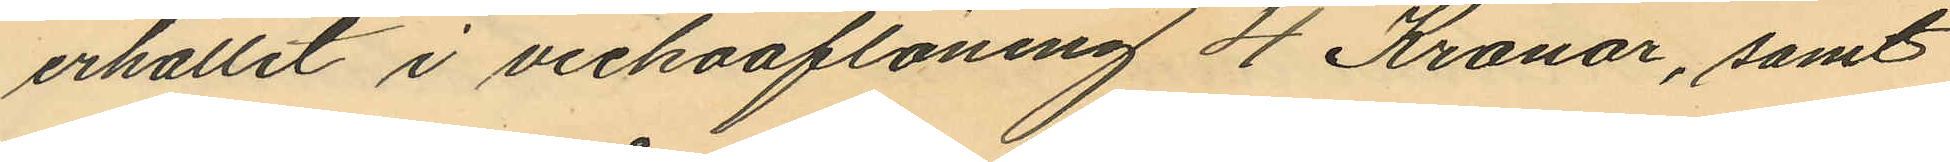erhållit i veckoaflöning 4 Kronor, samt
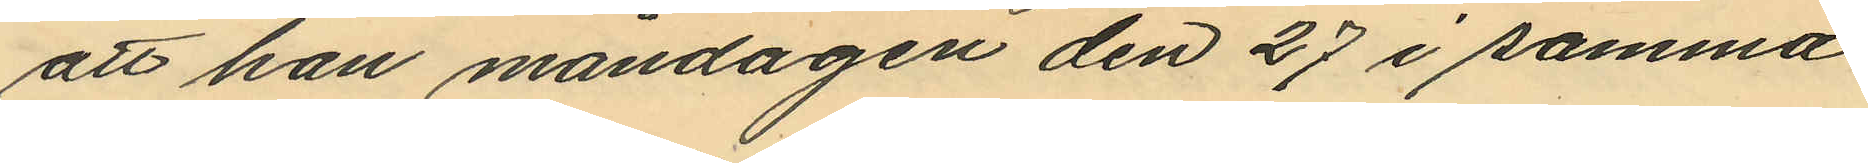att han måndagen den 27 i samma
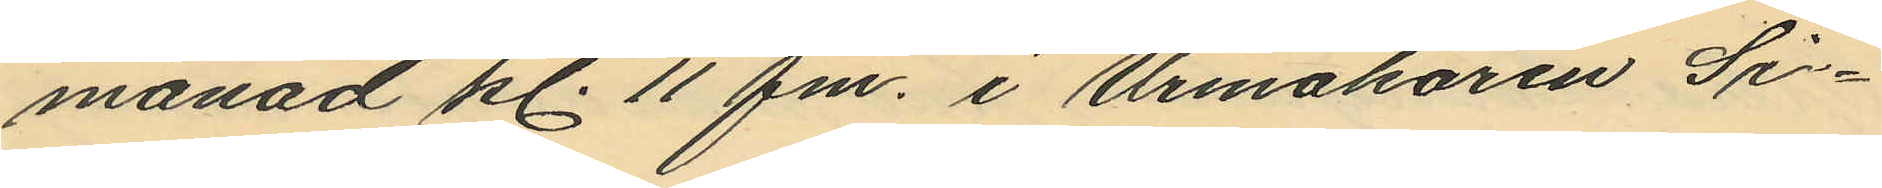månad kl. 11 fm. i Urmakaren Si¬
